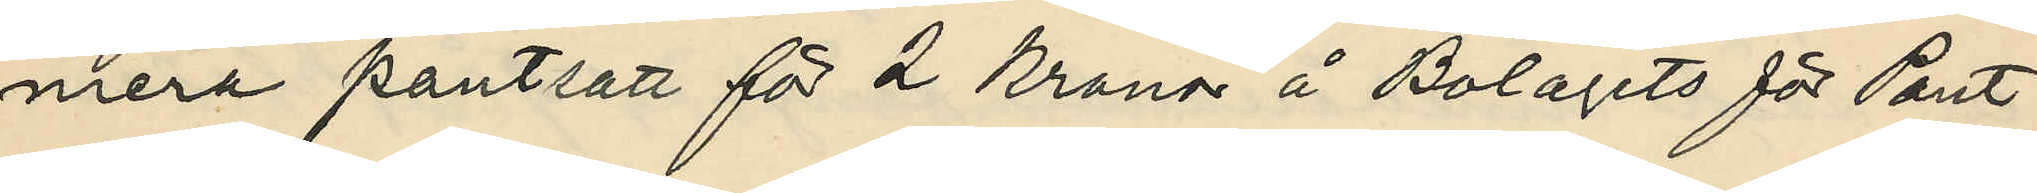mera pantsatt för 2 kronor å Bolagets för Pant¬
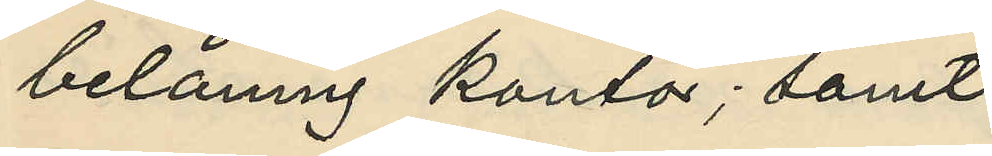belåning kontor; samt
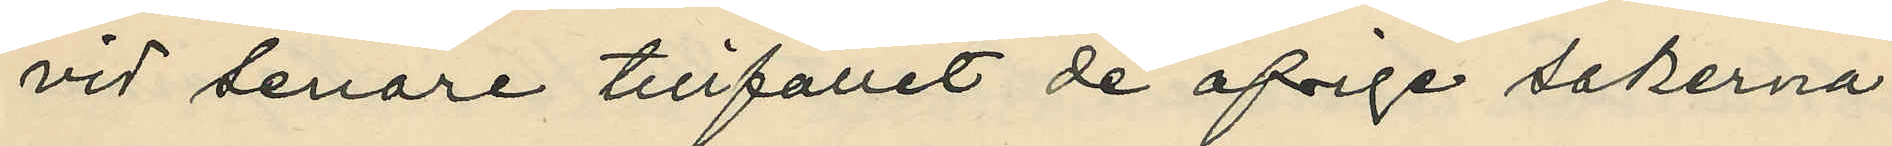vid senare tillfället de öfriga sakerna.
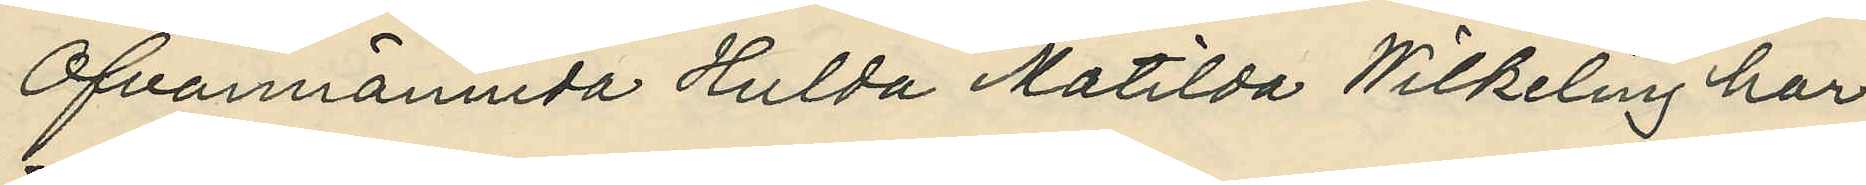Ofvannämnda Hulda Matilda Wilkeling har
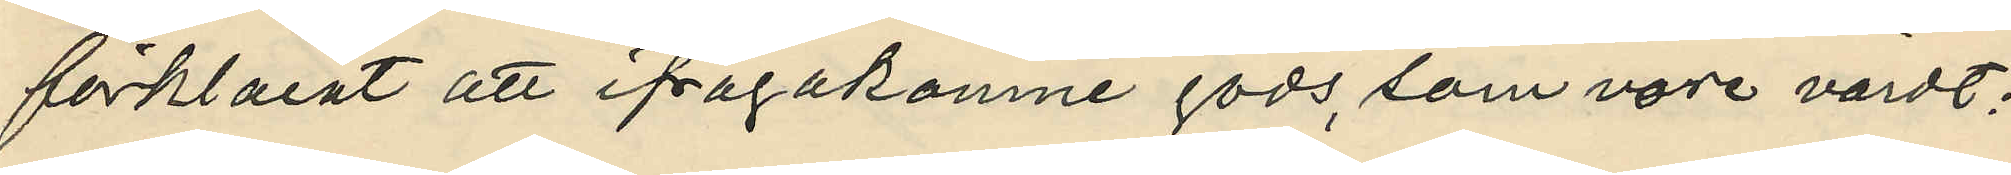förklarat att ifrågakomne gods, som vore värdt;
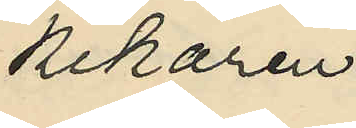kikaren
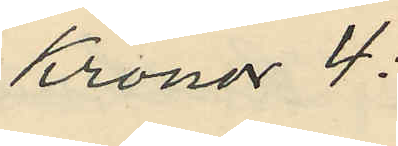Kronor 4:
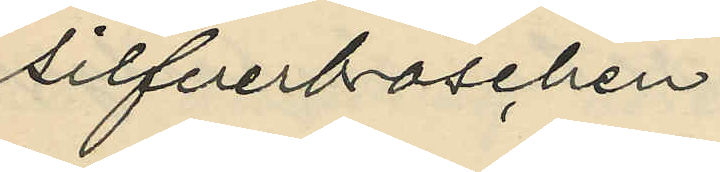silfverbroschen
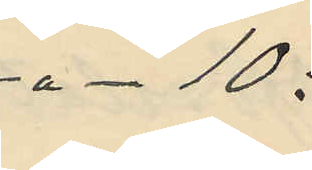"- 10:
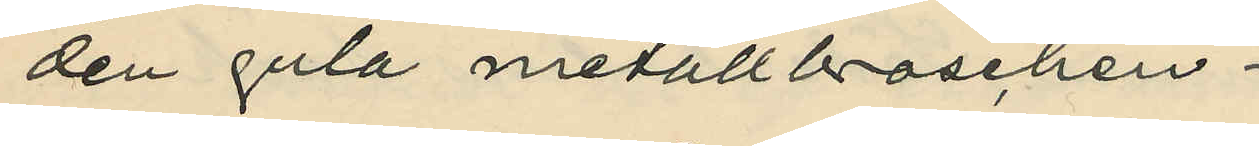den gula metallbroschen
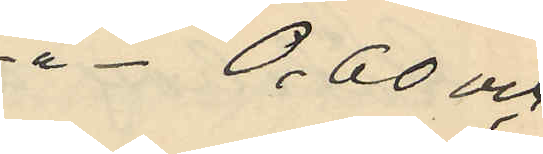"- 0,60 och
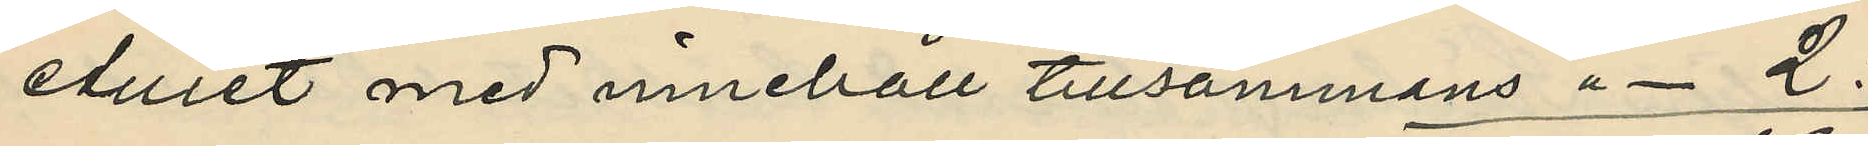etuiet med innehåll tillsammans "- 2:
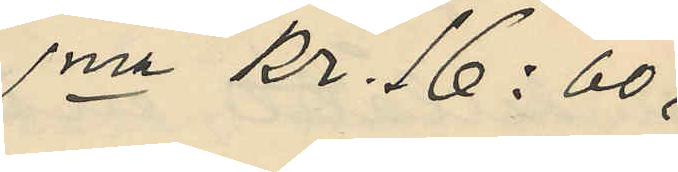Sma kr. 16:60,
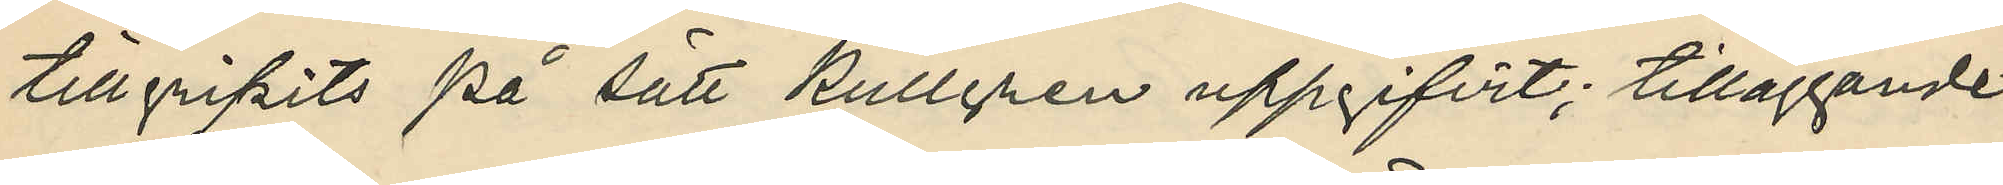tillgripits på sätt Kullgren uppgifvit; tilläggande
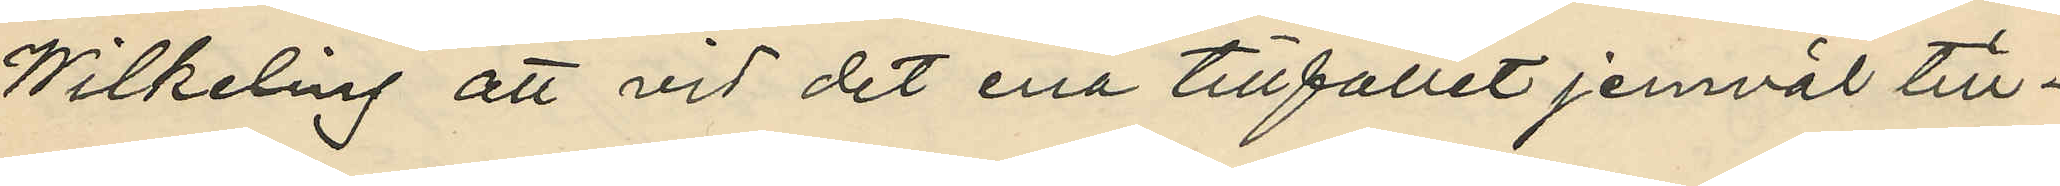Wilkeling att vid det ena tillfället jemväl till¬
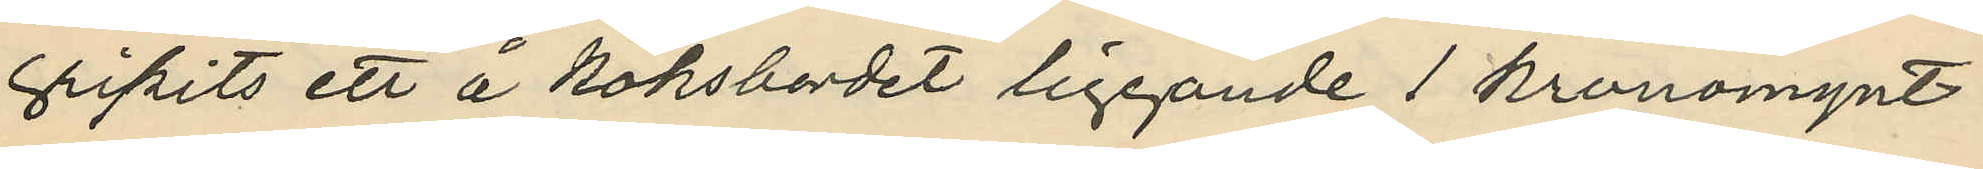gripits att å köksbordet liggande 1 kronomynt.
